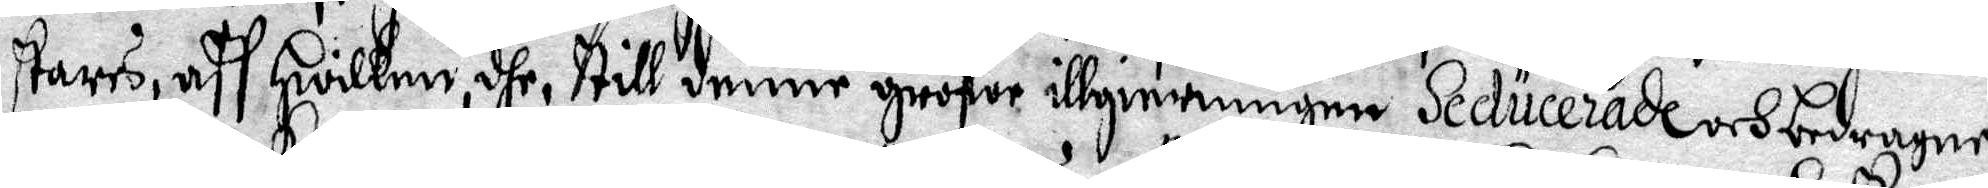stars, aff Hwilken, dhe, till denne grofwe illgierningen Seducerade och bedragne
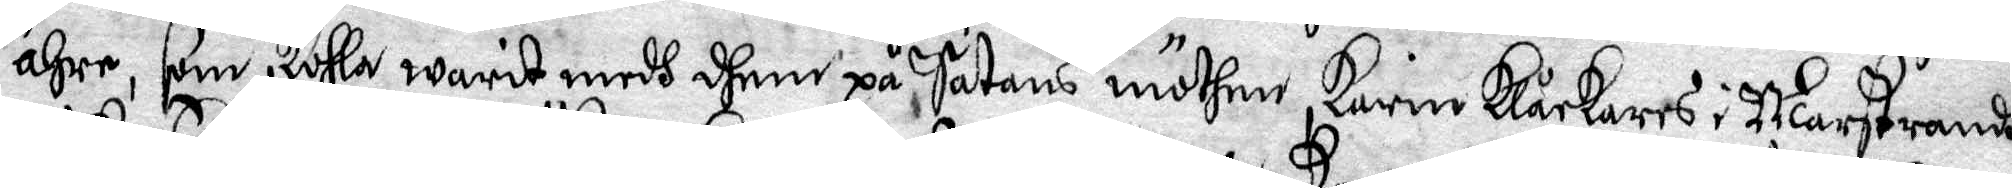ähre, som skulla warit medh dhem på Satans möthen, Karin Klåckares i Marstrandh,
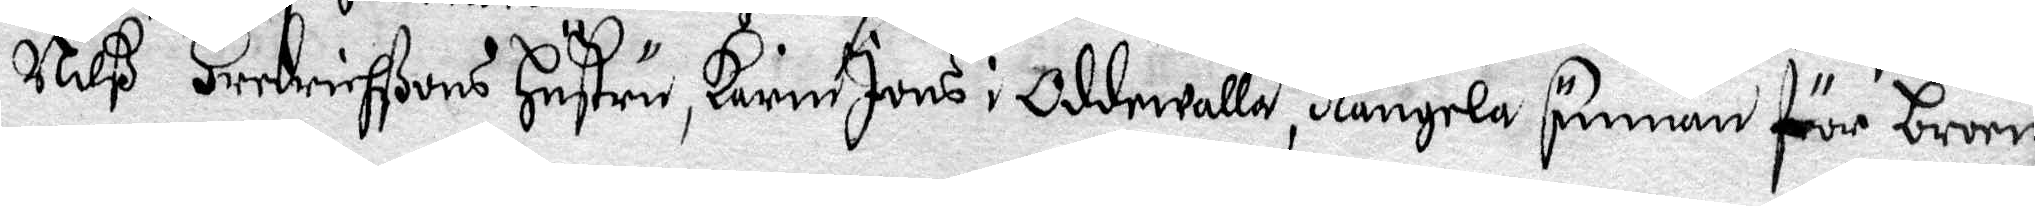Nilß Fredrichßons Hustru, karin Jons i oddewalla, Rangela Suman för broen,
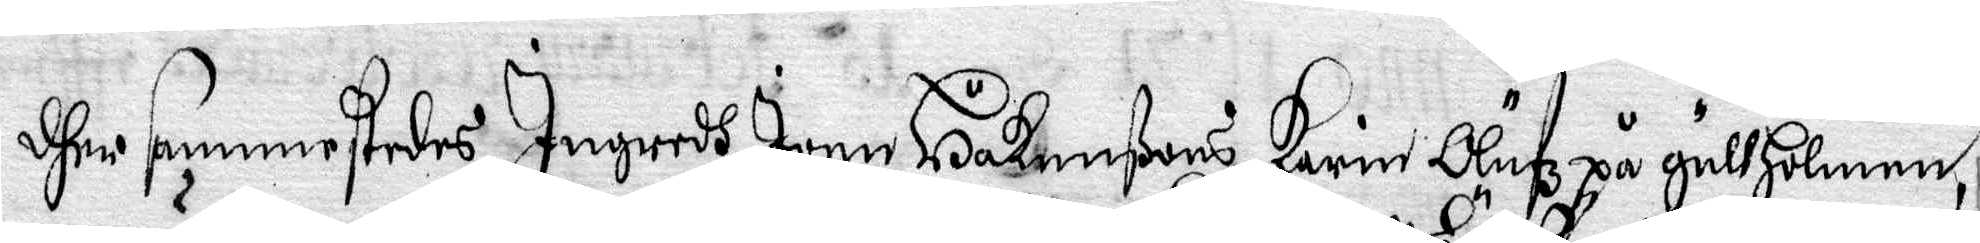dher sammestedes, Ingredh Joen Håkanßons, Karin Olufz på gullHolmen,
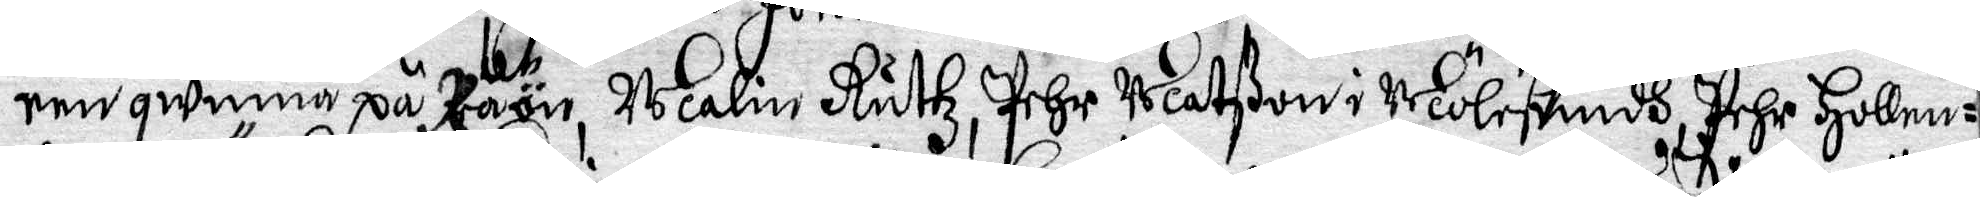een qwinna på Raön, Malin Ruttz, Pehr Matßon i Mölesundh, Pehr Hollen¬
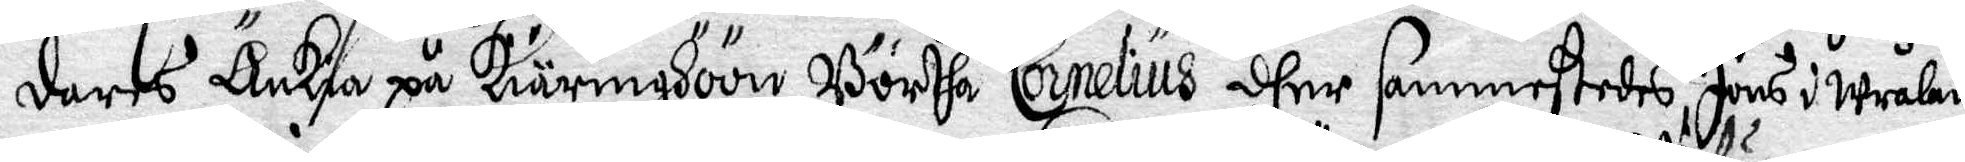dares Änkia på Kiäringhöön, Börtha Cornelius dher sammestedes, Jöns i Wrålan
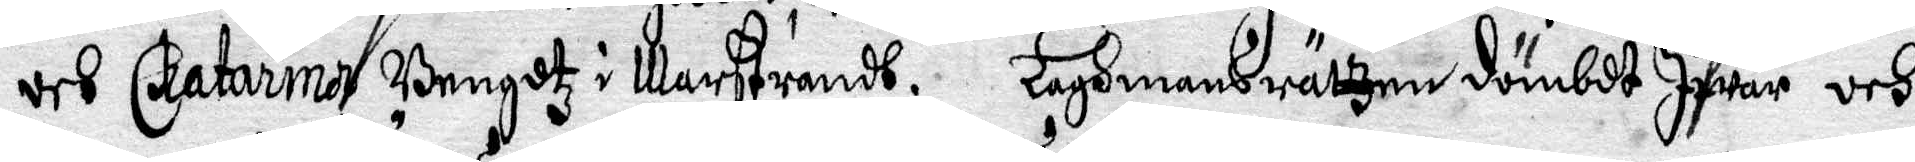och Catarina Bengdtz i Marstrandh; Lagmansrätzen dömbde Ifwar och
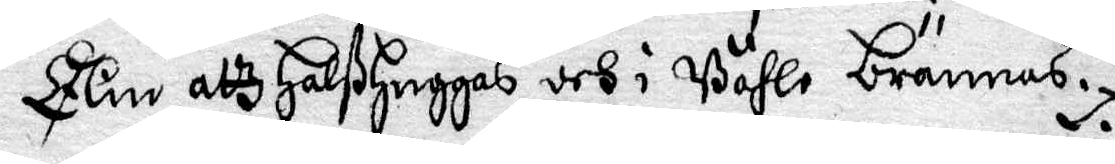Elin attz Halßhuggas, och i Båhle brännas.
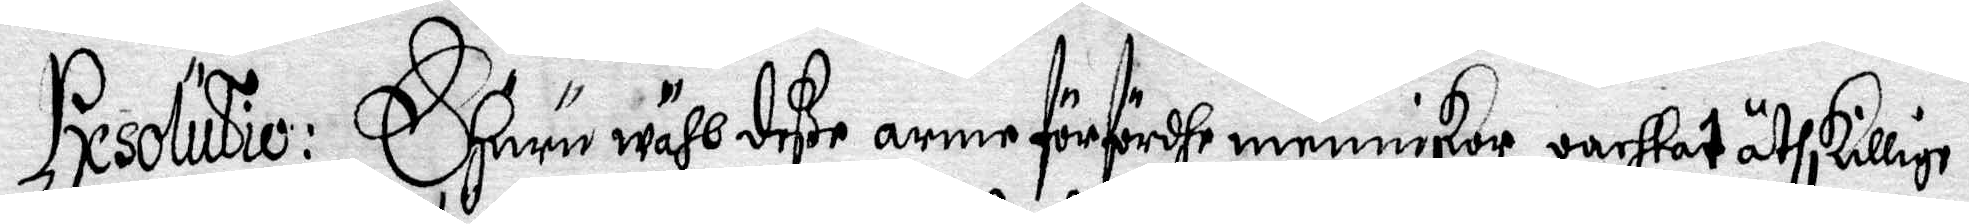Resolutio: Ehuru wähl deße arme förfördhe menniskor oachtat åtskillige
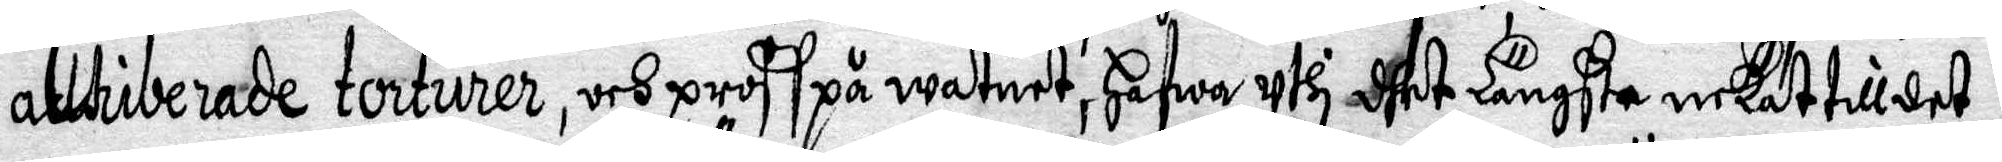attriberade torturer, och proff på watnet, Hafwa uthi dhet Längsta nekat till det
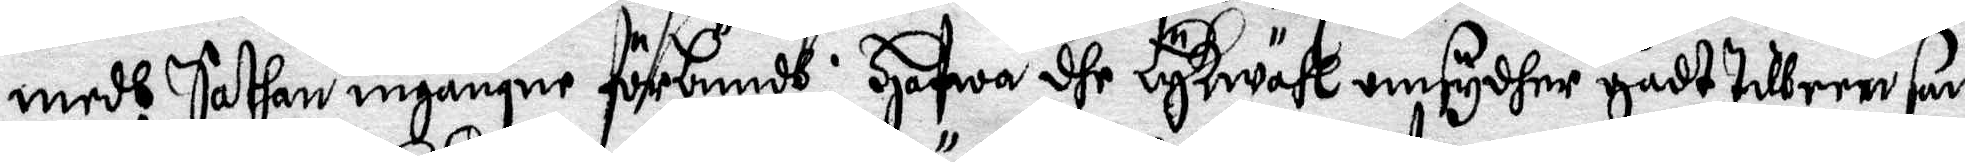medh Sathan ingångne förbundh; hafwa dhe Lykwäll omsyder gådt till een san
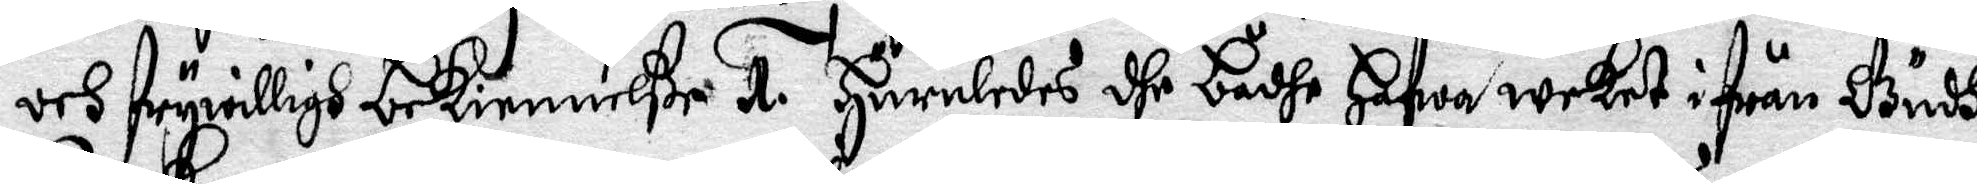och frywilligh bekiennelße 1. Huruledes dhe Bådhe Hafwa weket ifrån Gudh
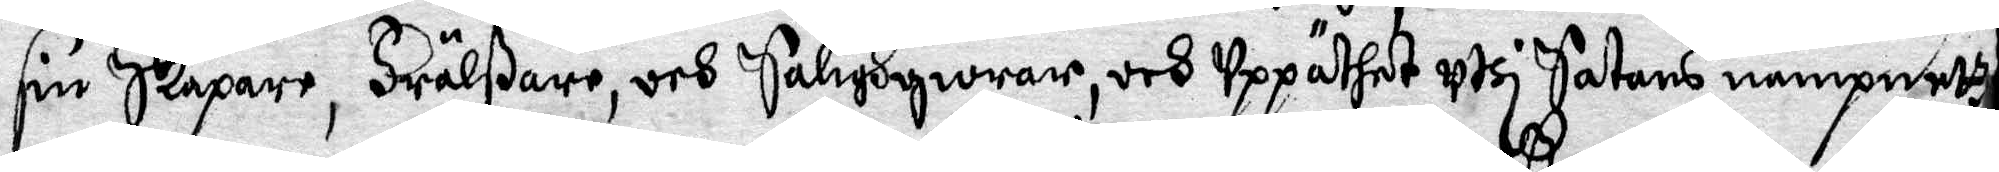sin Skapare, Frälßare, och Salighgiörar, och uppäthet uthi Satans nampnettz
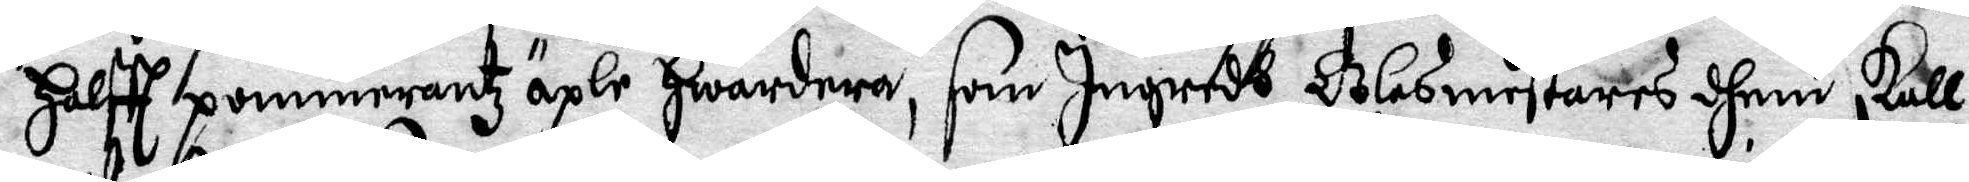Halftt pommerantz äple Hwardera, som Ingredh Glasmestares dhem skull
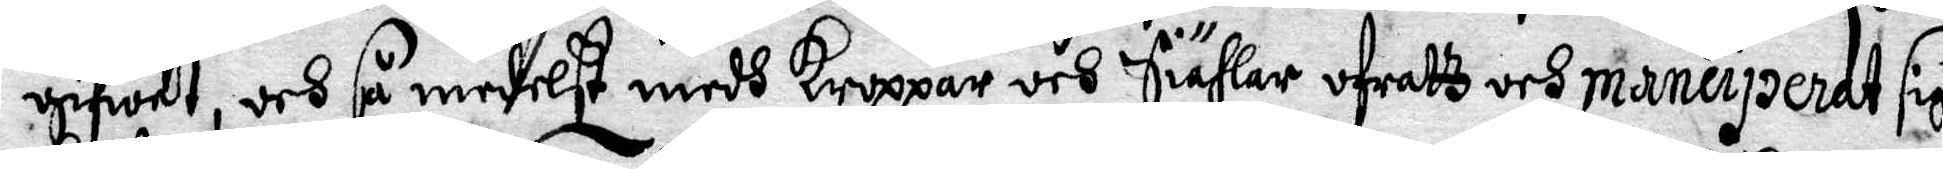gifwit, och så medelst medh Kroppar och Siählar ofratz och maneiperdt sigh
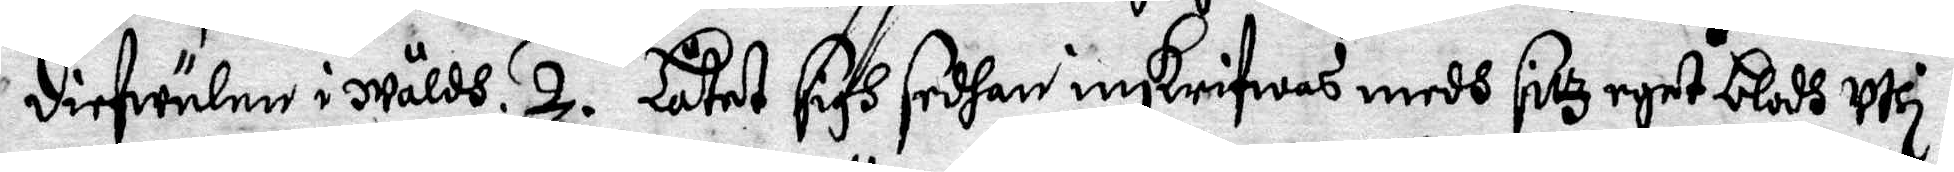diefwulen i wåldh. 2. Låtet sigh sedhan inskrifwas medh sitz eget blodh uthi
